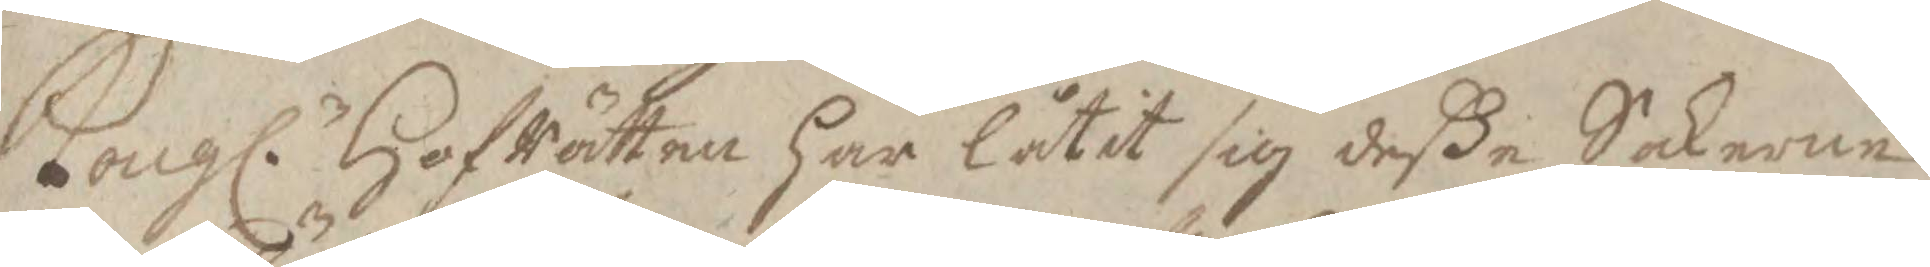Kongl. HofRätten har låtit sid deße Sakerne
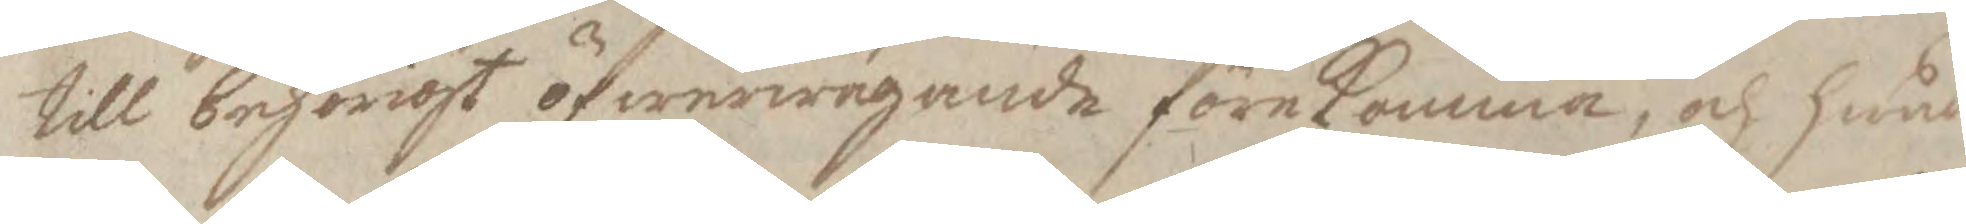till behörigt öfwerwägande föreKomma, och hwad
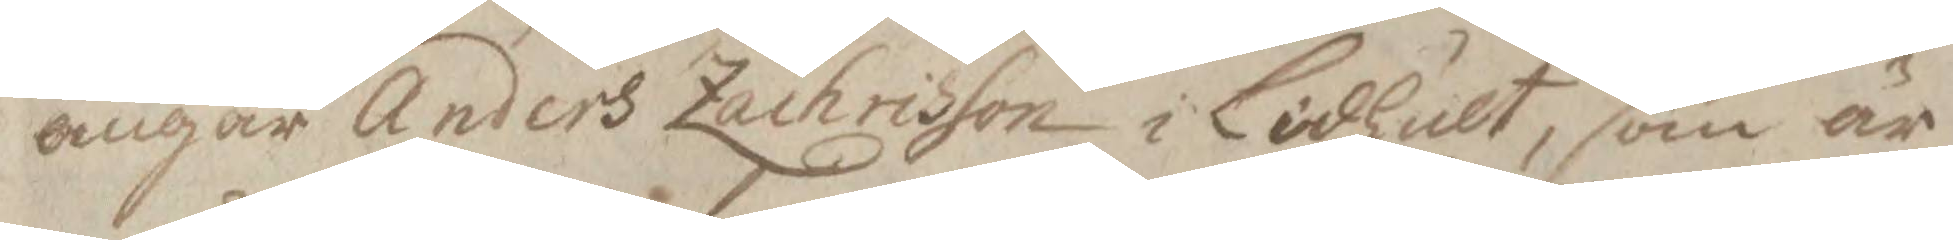angår Anders Zachrisson i Lidhult, som är
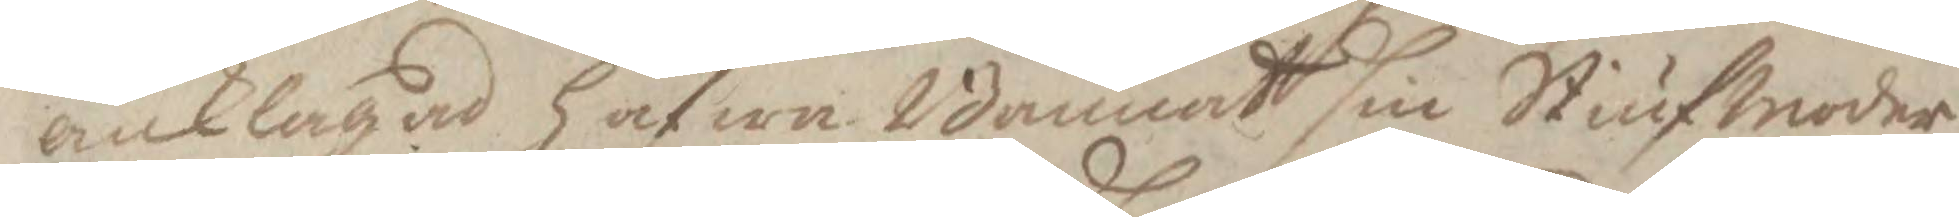anklagad hafwa Bannat sin Stiufmoder
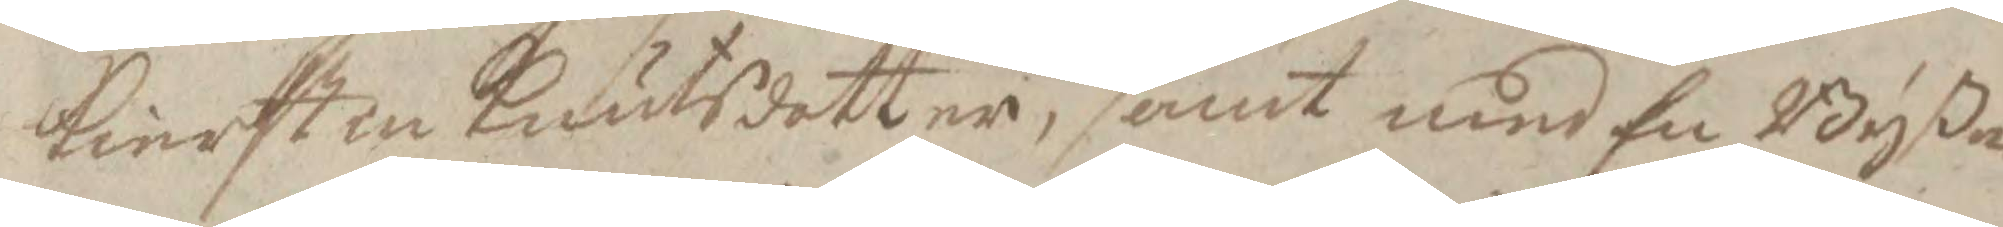Kierstin Knutsdotter, samt med En Byßa
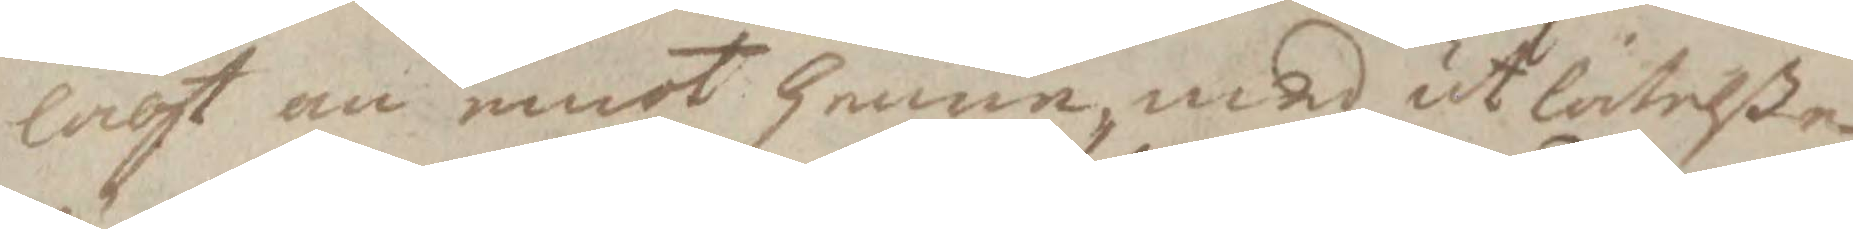lagt an emot henne, med utlåtelße
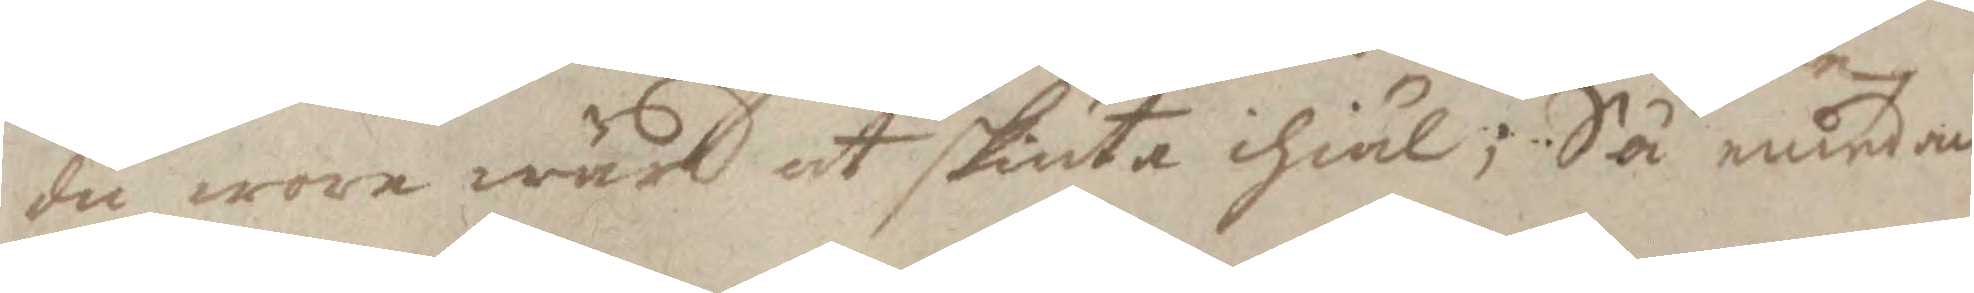du wore wärd at skiuta ihiäl; Så emedan
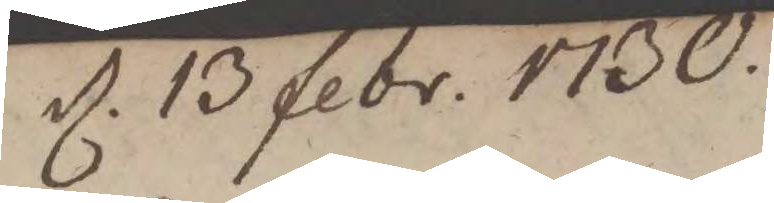d. 13 febr. 1730.
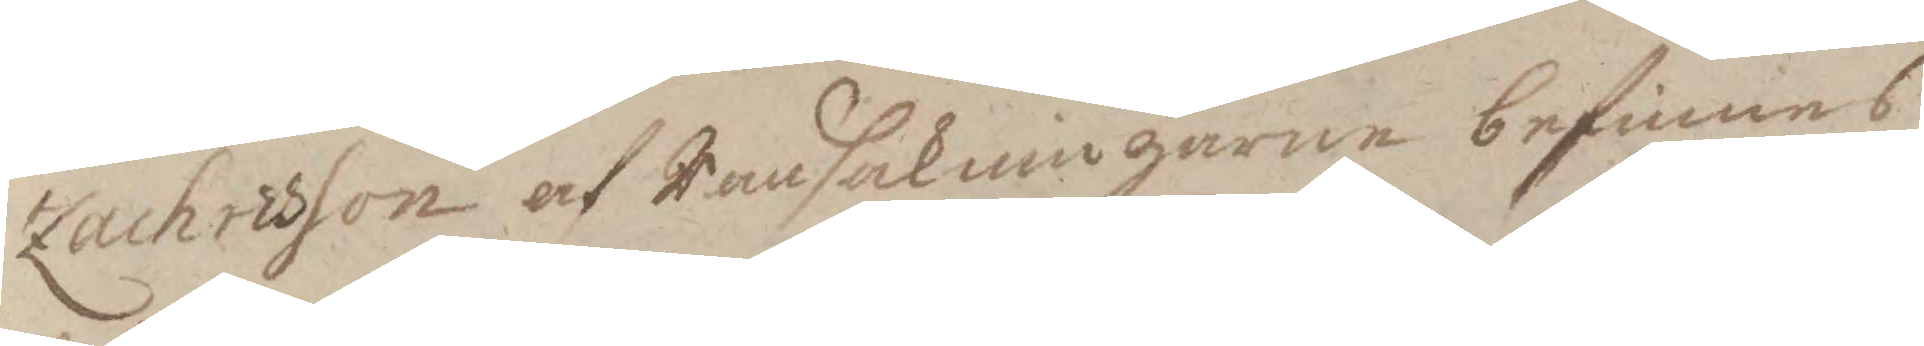Zachrisson af Ransakningarne befinnes
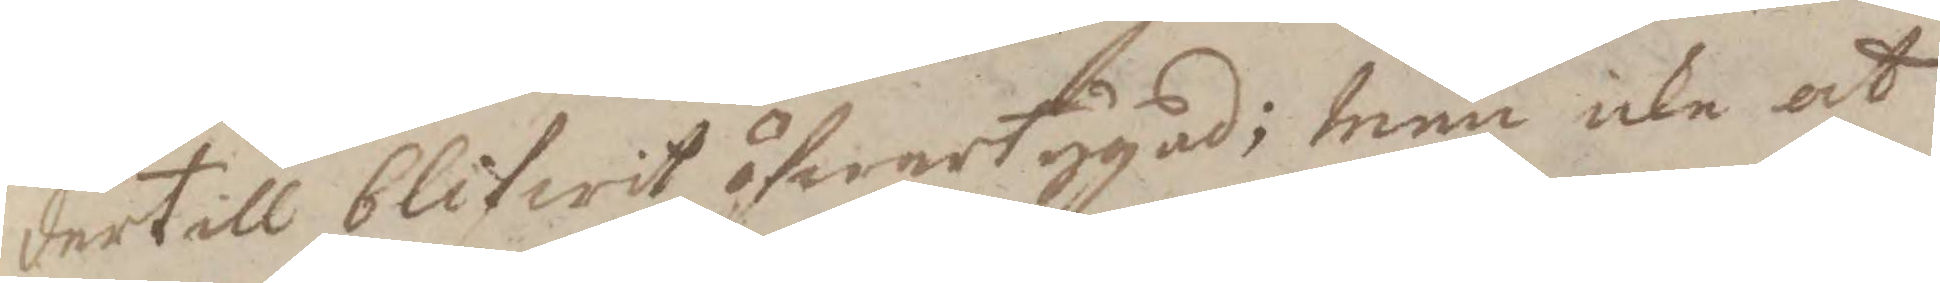dertill blifwit öfwertygad; men icke at
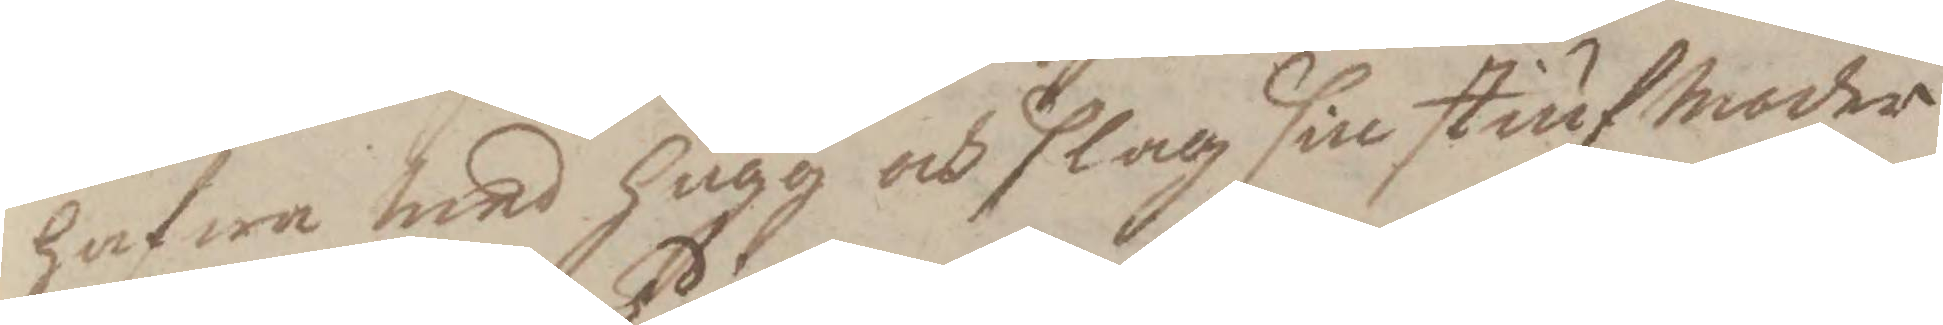hafwa med hugg och slag sin stiufmoder
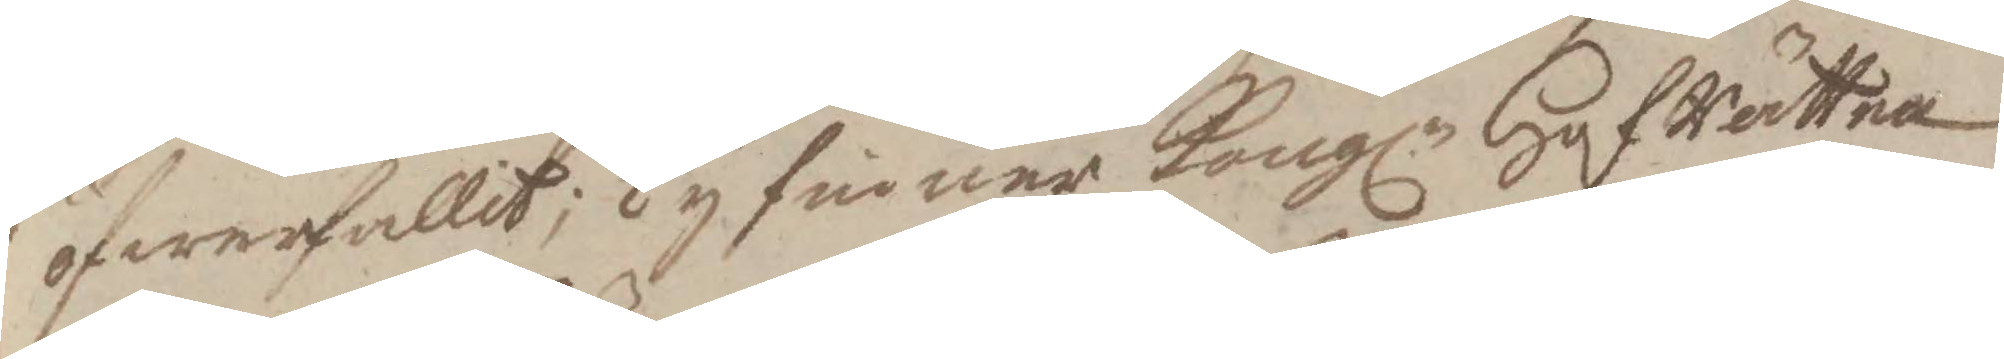öfwerfallit; Ty finner Kongl. HofRätten
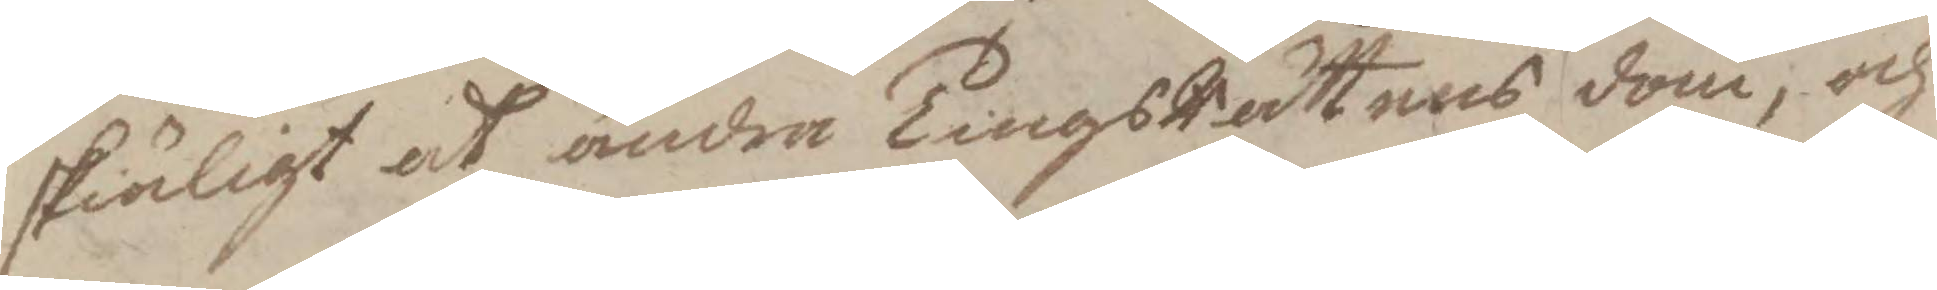skiäligt at ändra TingsRättens dom, och
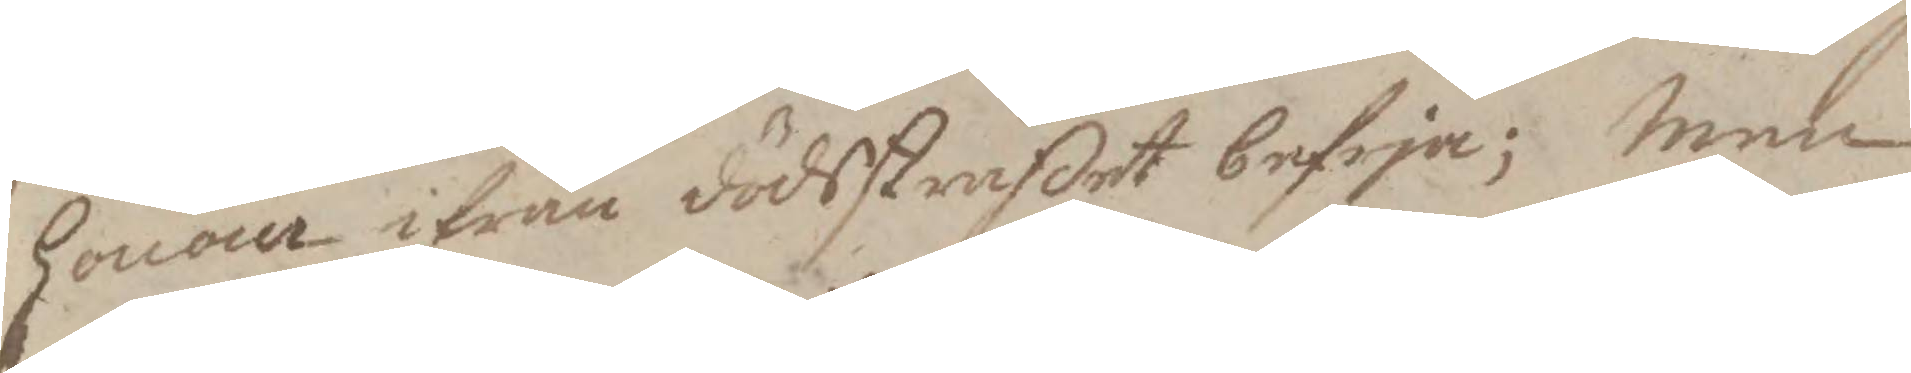honom ifrån dödsstraffet befria; men
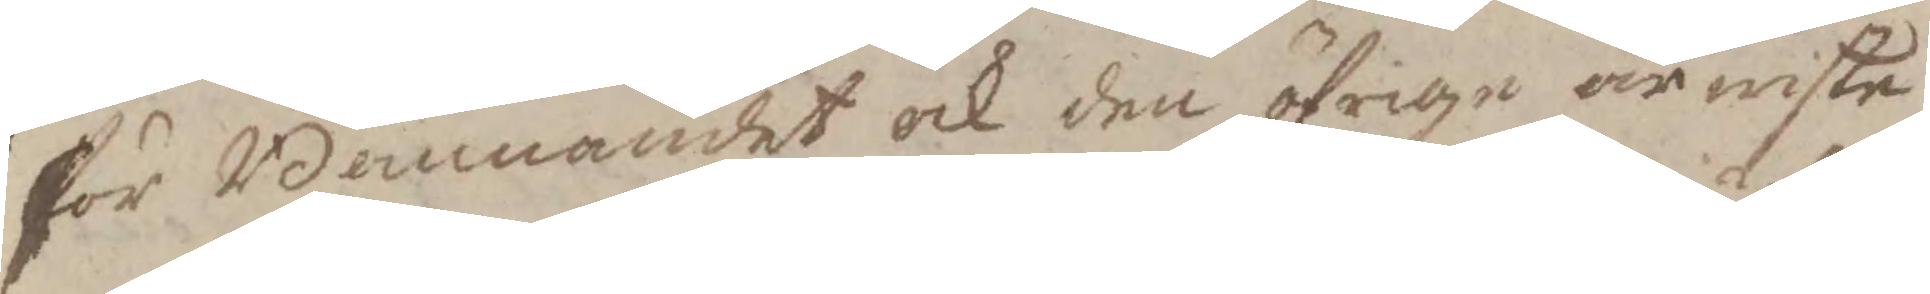för Bannandet och den öfrige ärwiste
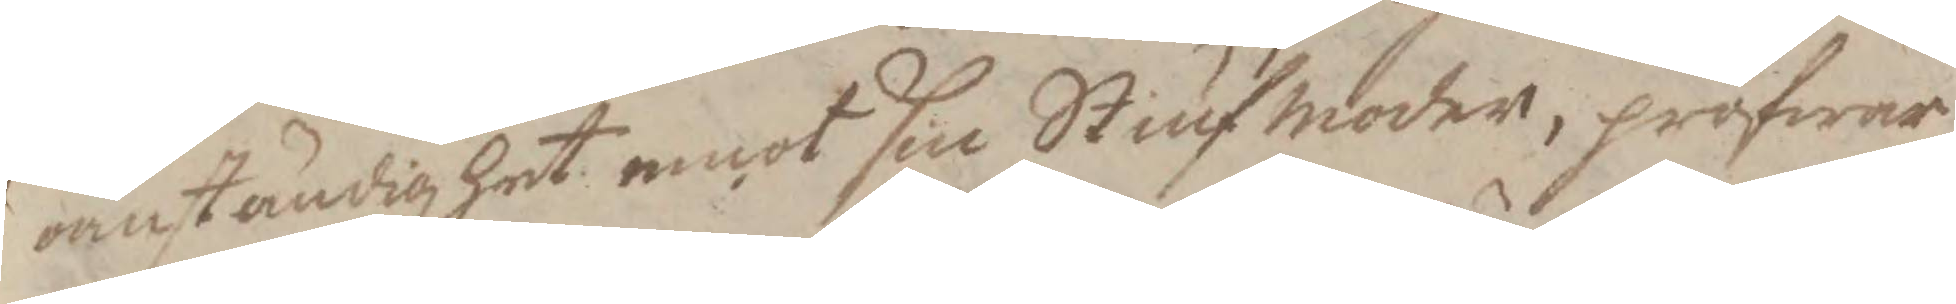omständighet emot sin Stiufmoder, pröfwar
